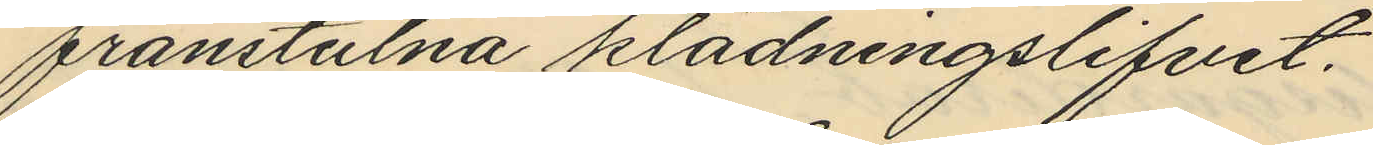frånstulna klädningslifvet.
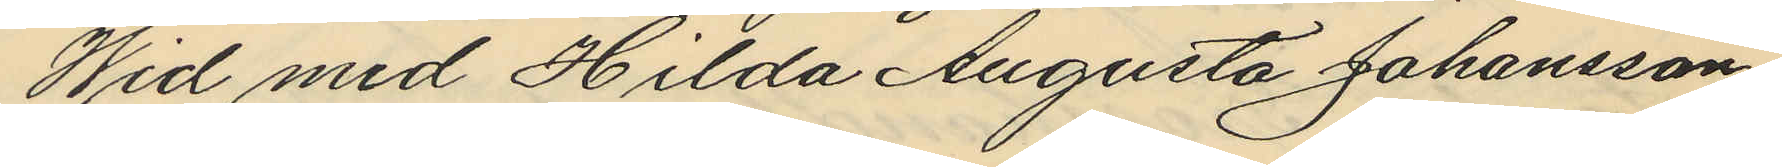Wid med Hilda Augusta Johansson
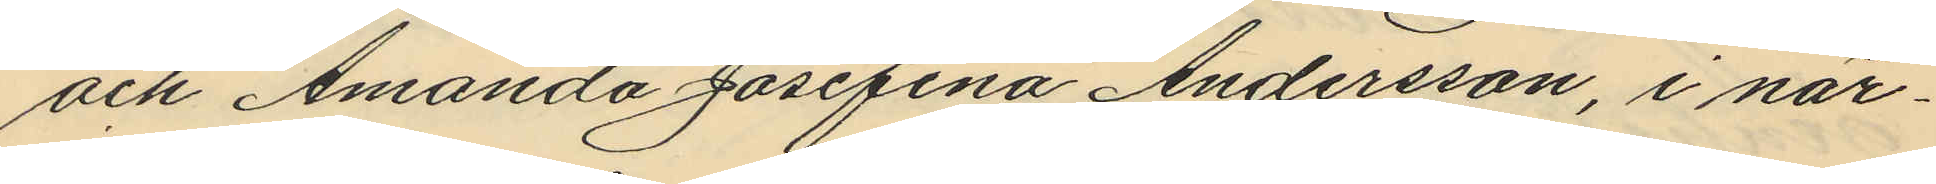och Amanda Josefina Andersson, i när¬
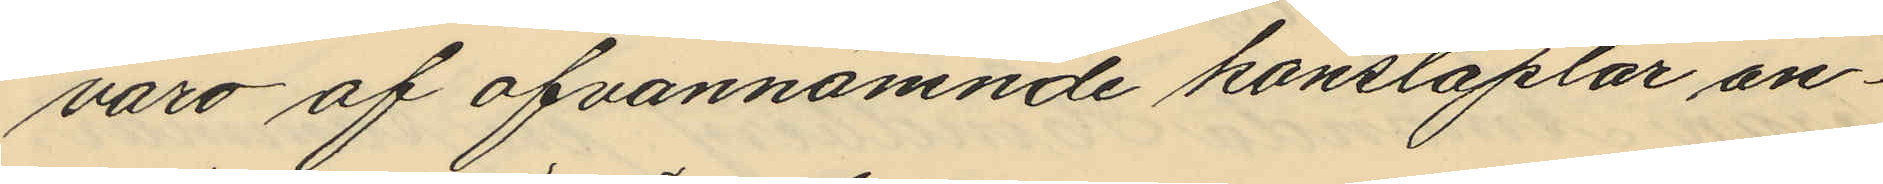varo af ofvannämnde konstaplar an¬
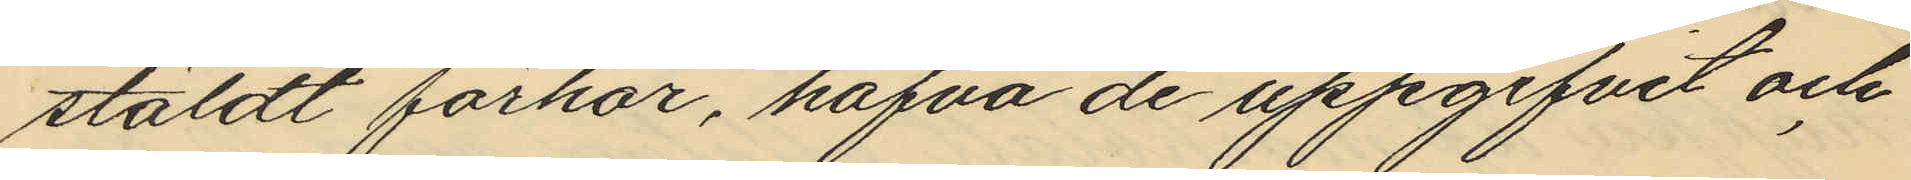stäldt förhör, hafva de uppgifvit och
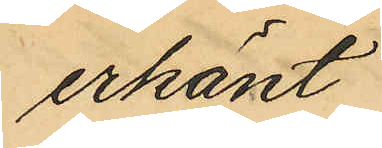erkänt.
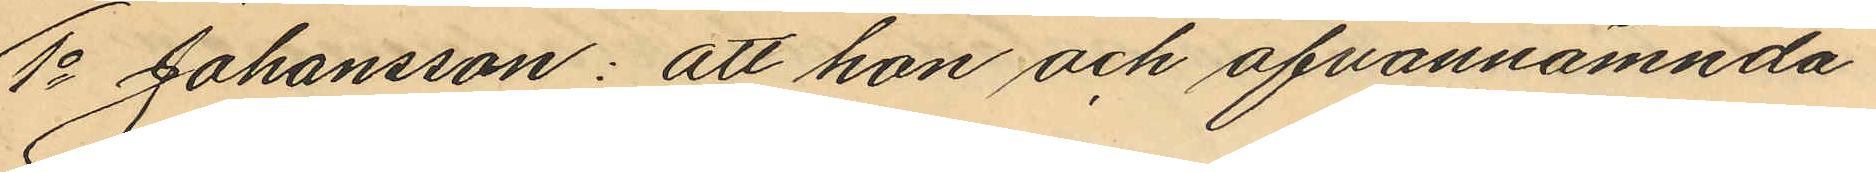1o Johansson: att hon och ofvannämnda
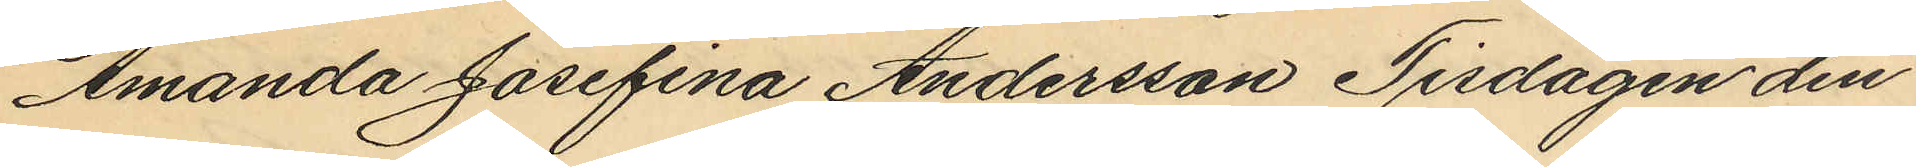Amanda Josefina Andersson Tisdagen den
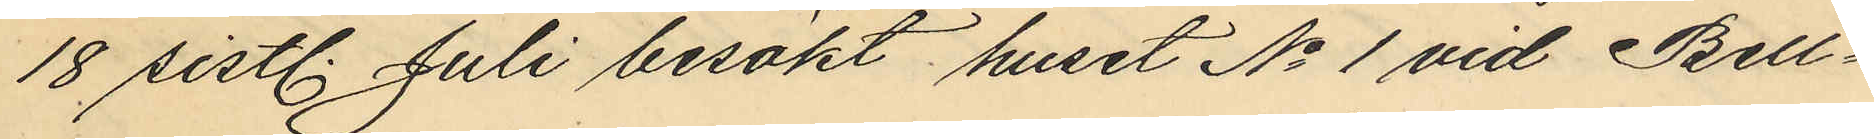18 sistl. Juli besökt huset No 1 vid Bell¬
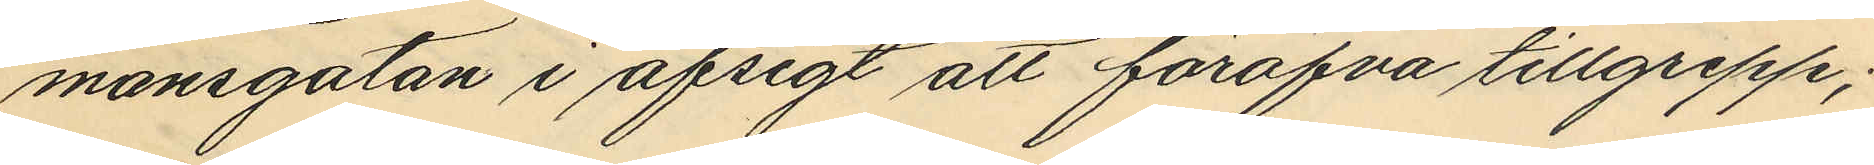mansgatan i afsigt att föröfva tillgrepp;
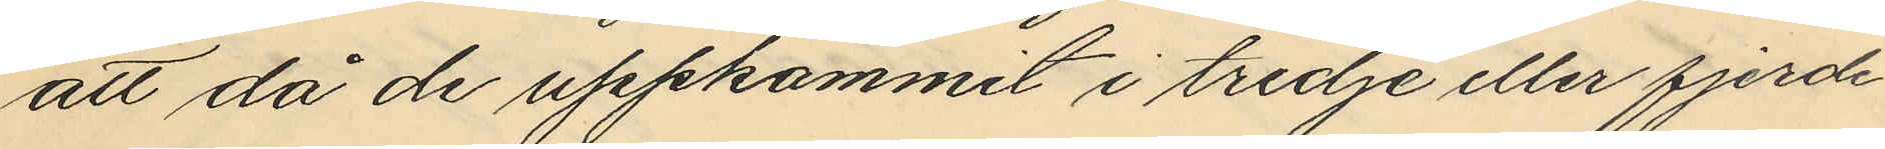att då de uppkommit i tredje eller fjerde
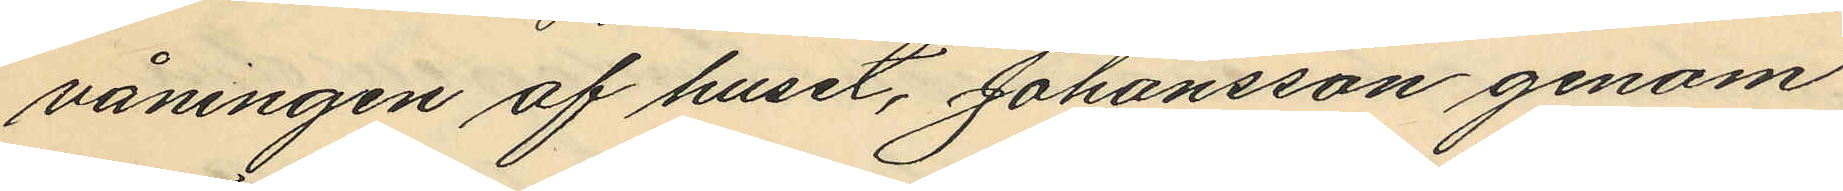våningen af huset, Johansson genom
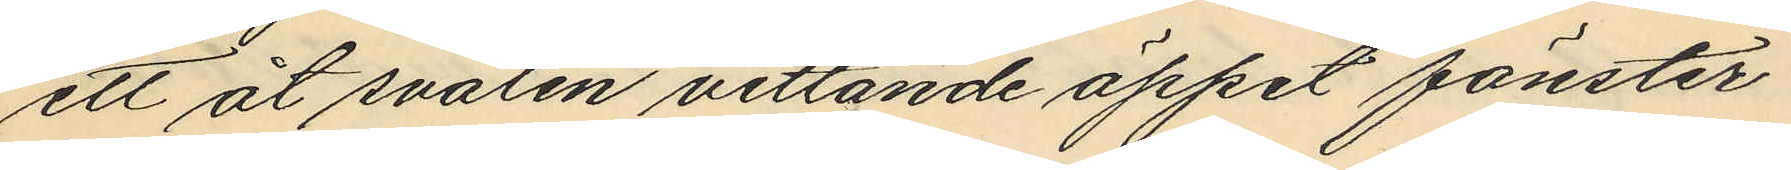ett åt svalen vettande öppet fönster
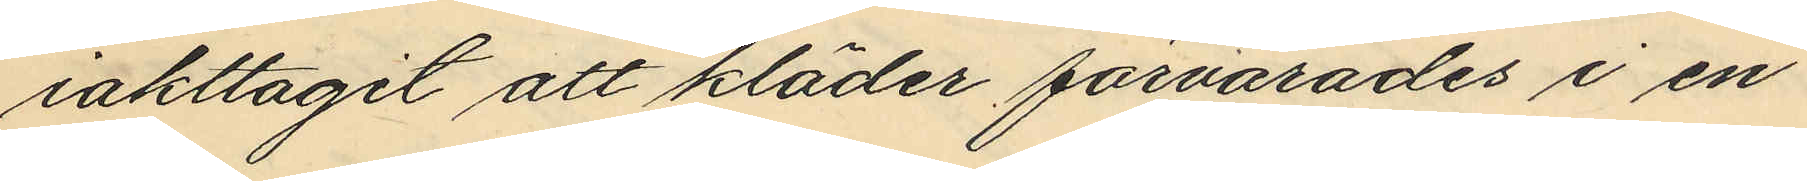iakttagit att kläder förvarades i en
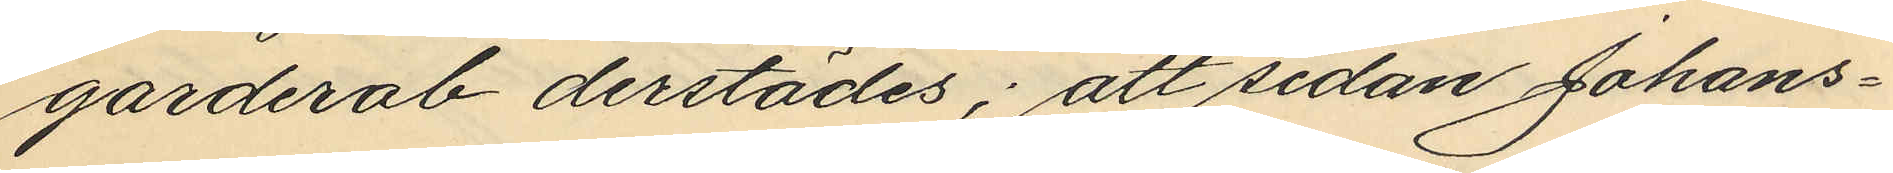garderob derstädes; att sedan Johans¬
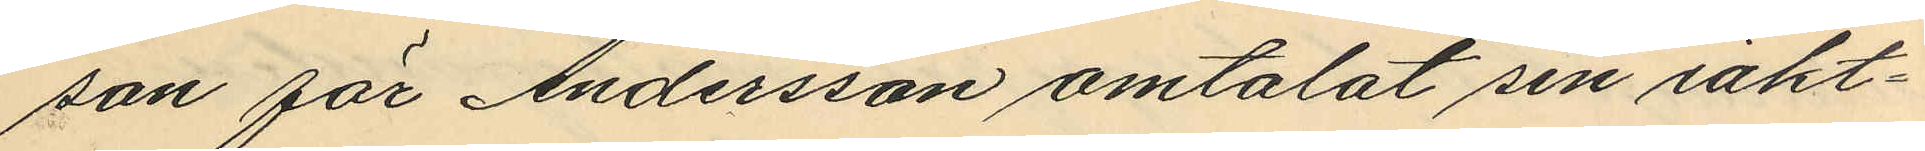son för Andersson omtalat sin iakt¬
